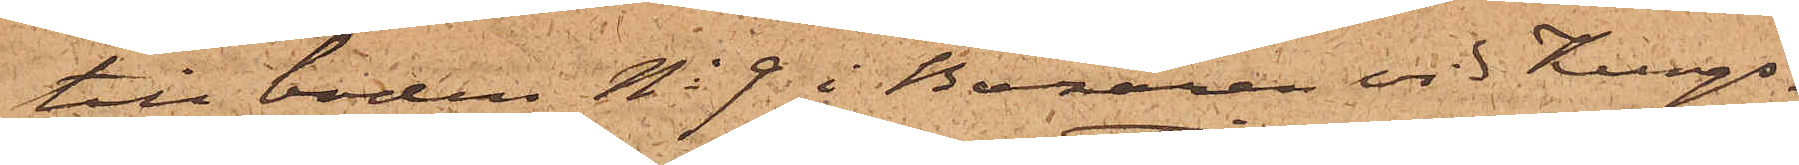till boden No 9 i Bazaren vid Kungs¬
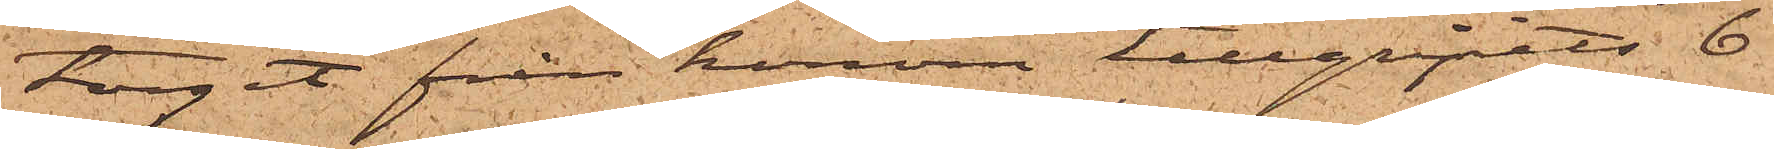torget från honom tillgripits 6
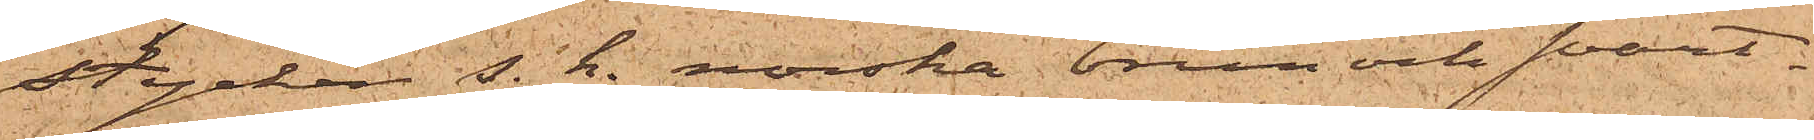stycken s. k. norska brun och svart¬
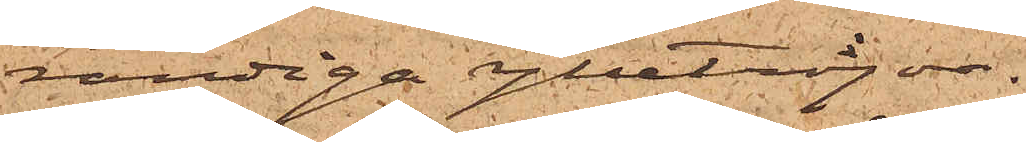randiga ylletröjor.
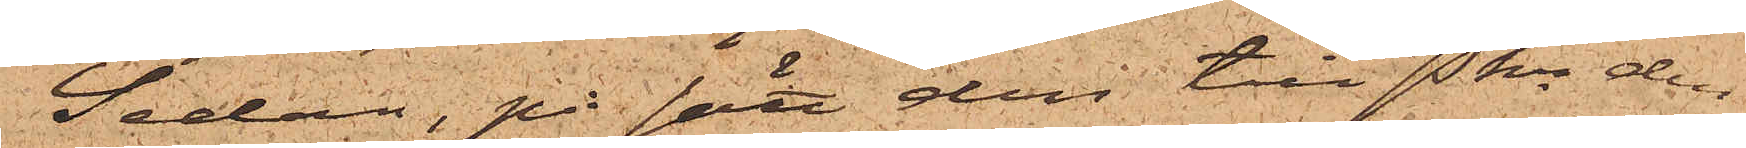Sedan, på sätt den till Pkn den
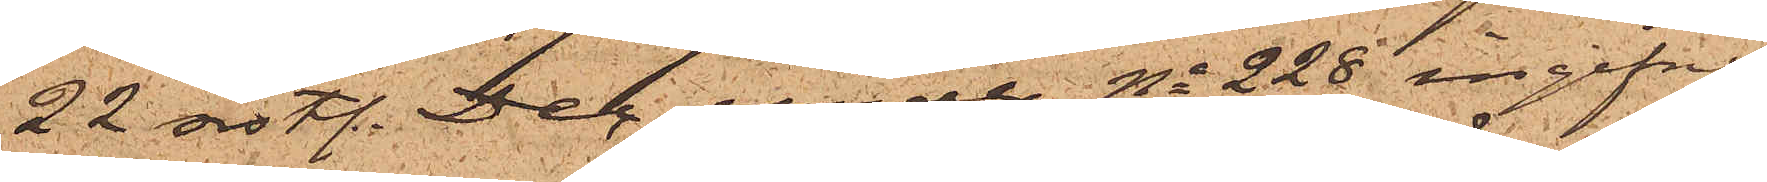22 sistl. Dec under No 228 ingifne
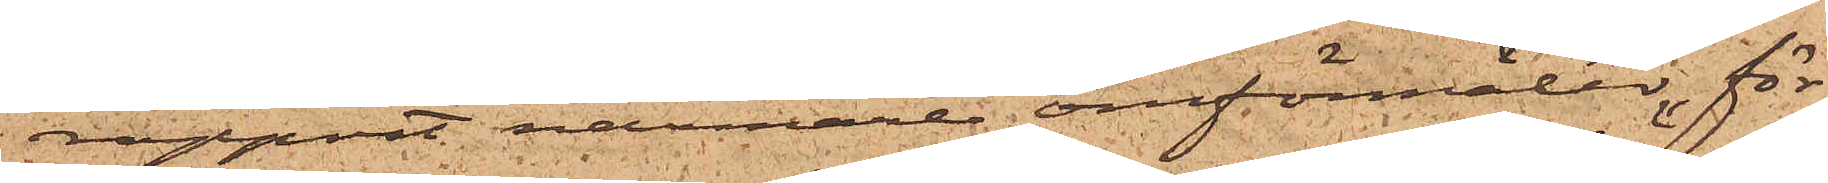rapport närmare omförmäler, för
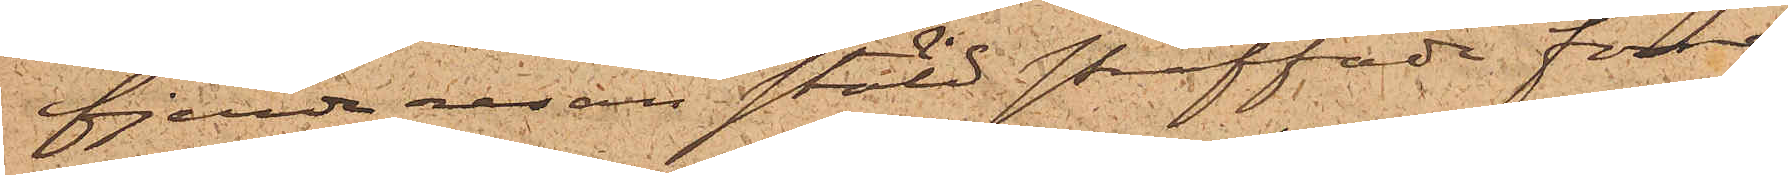fjerde resan stöld straffade förre
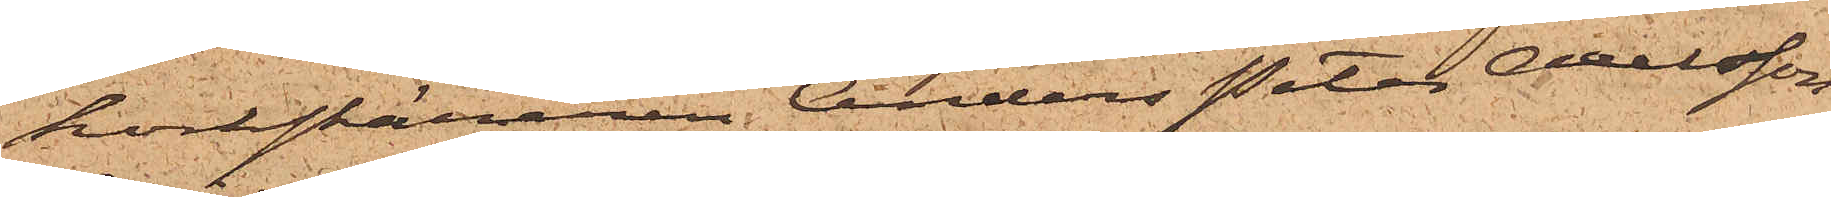korkskäraren Anders Peter Axelsson
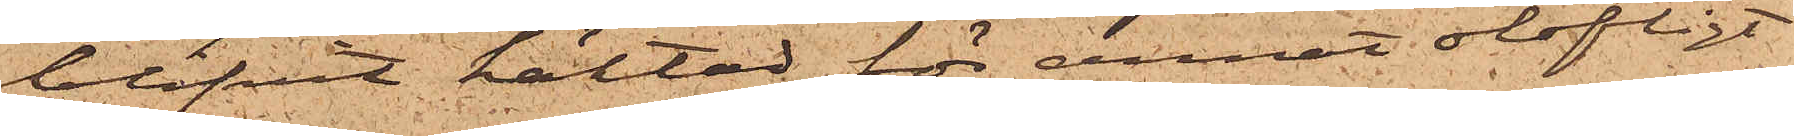blifvit häktad för annat olofligt
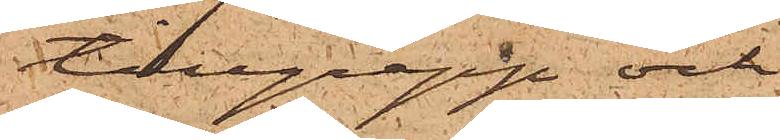tillgrepp och
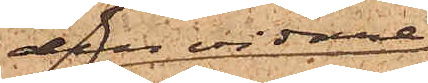den vidare
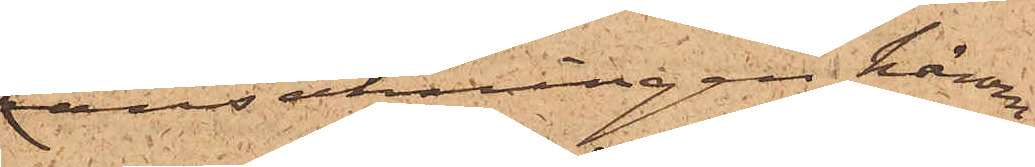ransakningen härom
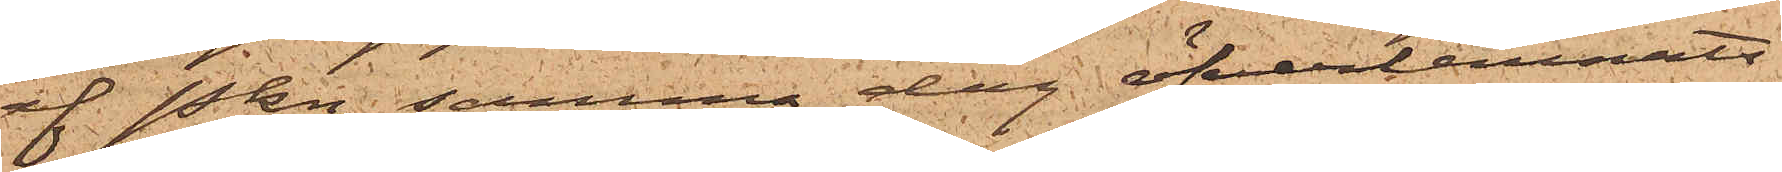af Pkn samma dag öfverlemnats
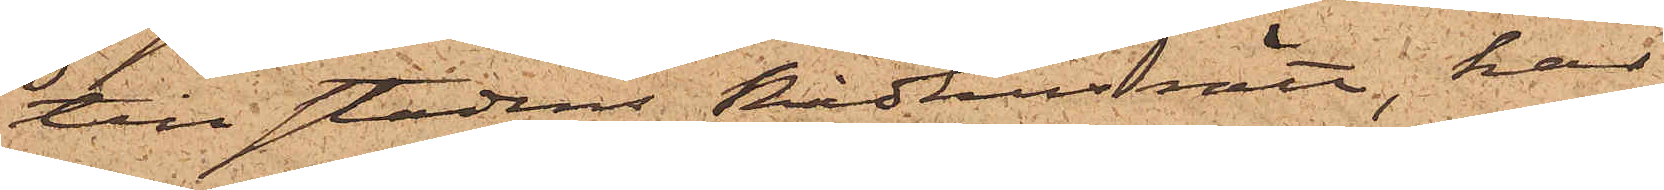till stadens Rådhusrätt, har
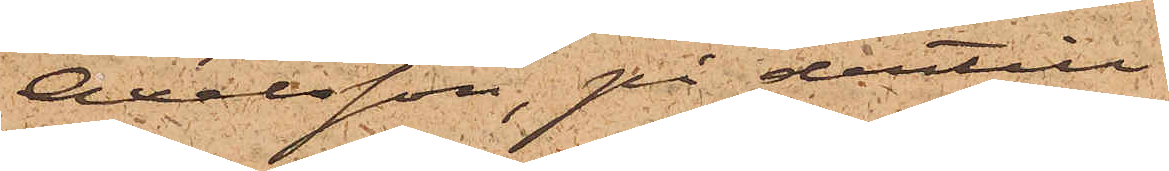Axelsson, på dertill
